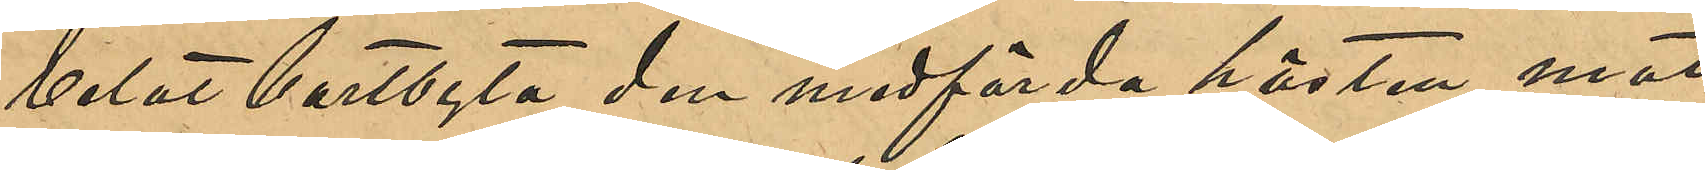velat bortbyta den medförda hästen mot 
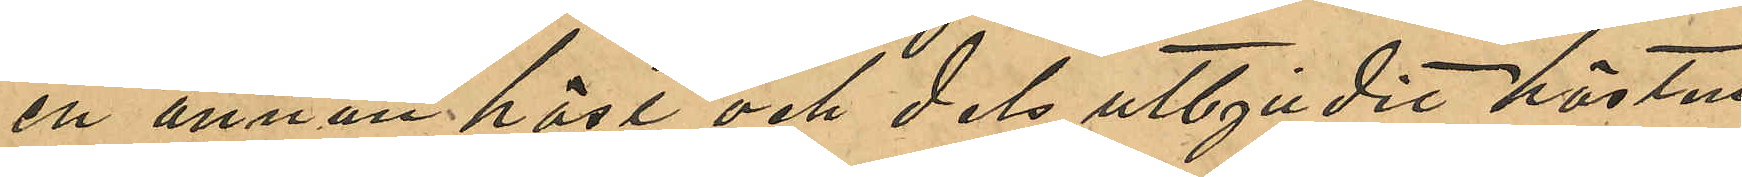en annan häst och dels utbjudit hästen
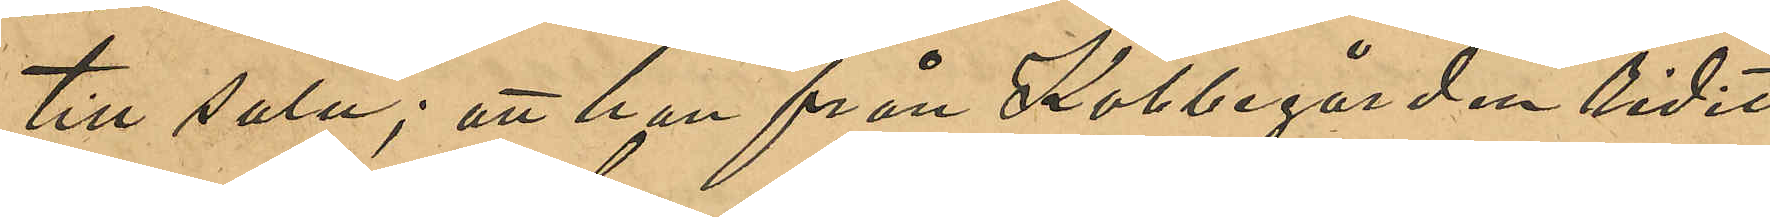till salu; att han från Kobbegården ridit
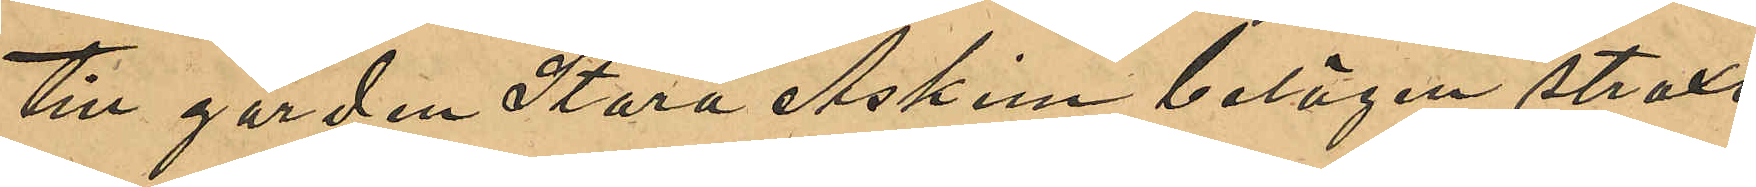till gården Stora Askim belägen straxt
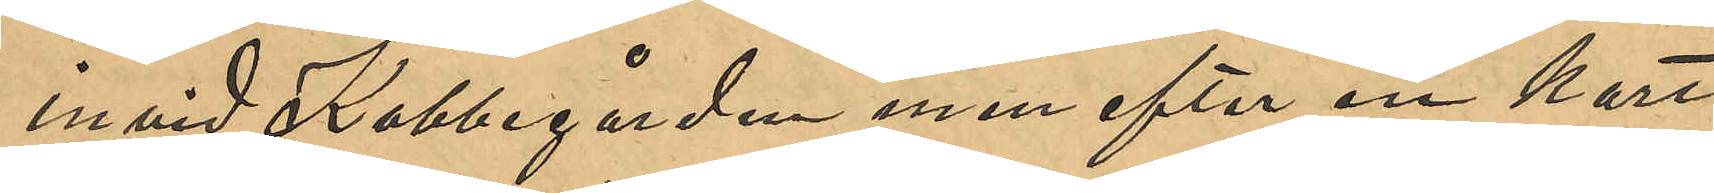invid Kobbegården men efter en kort
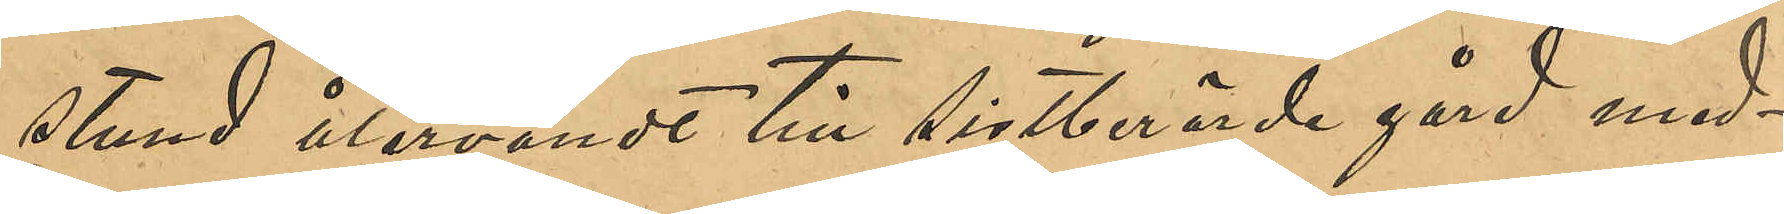stund återvändt till sistberörde gård med¬
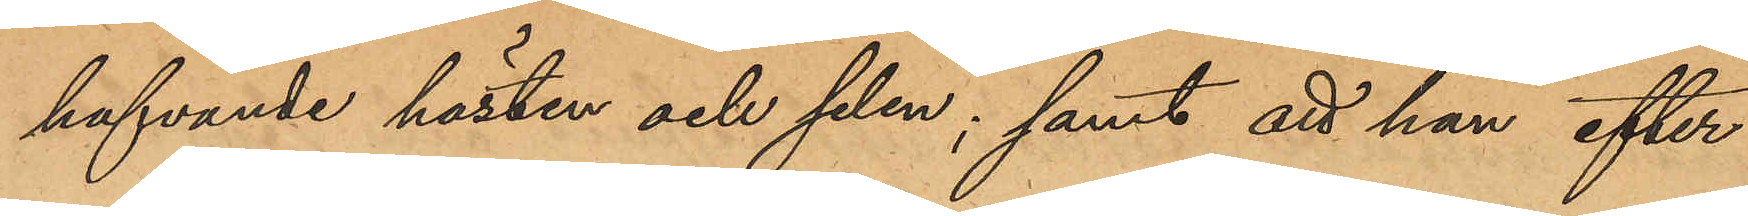hafvande hästen och selen, samt han efter
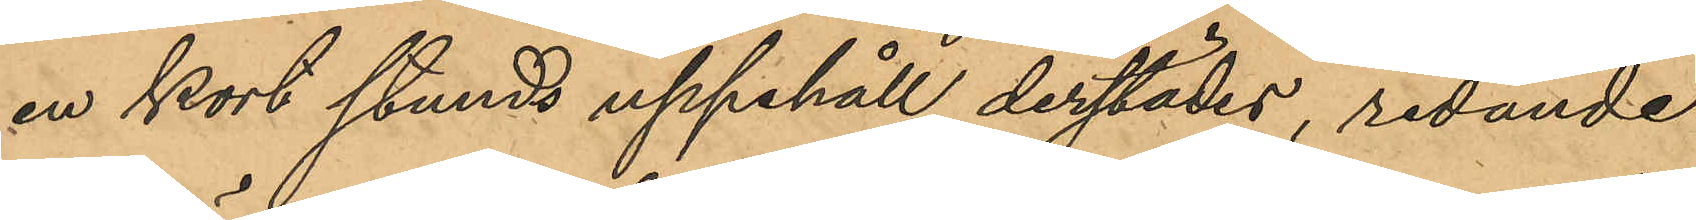en kort stunds uppehåll derstädes, ridande
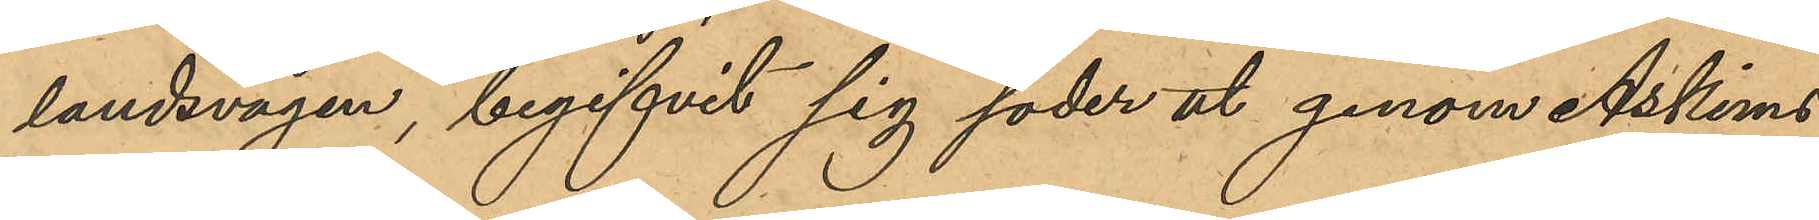landsvägen begifvit sig soder ut genom Askims
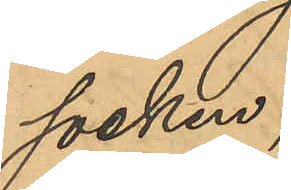socken;
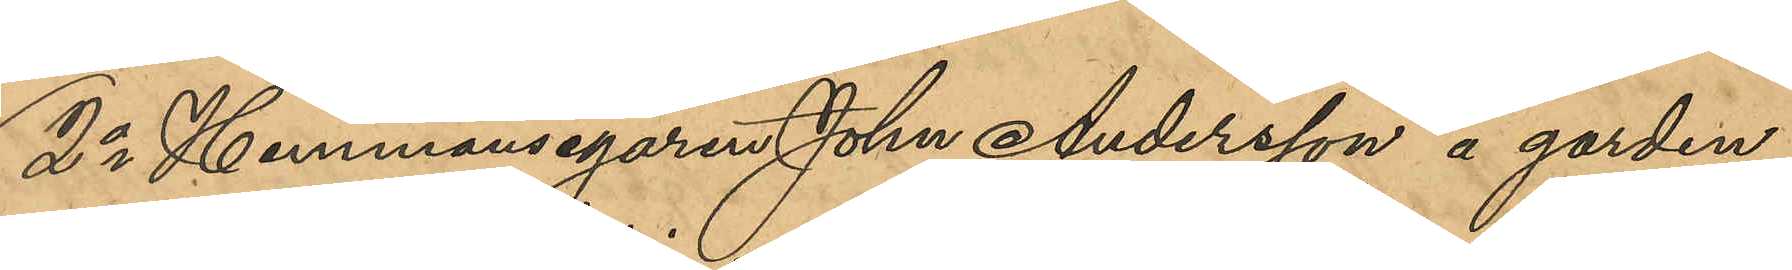2o Hemmansegaren Johan Andersson å gården
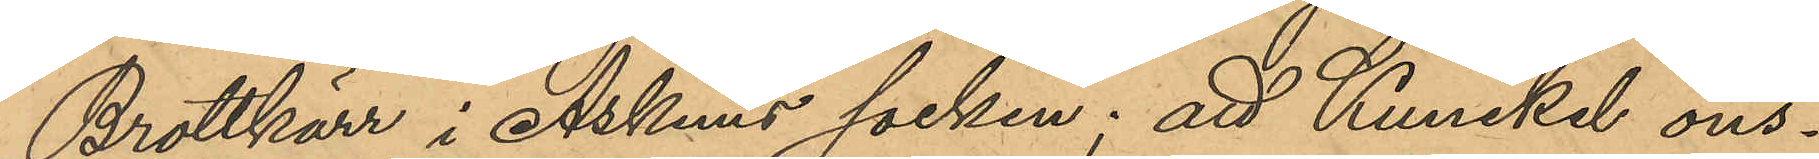Brottkärr i Askims socken; att Kunckel ons¬
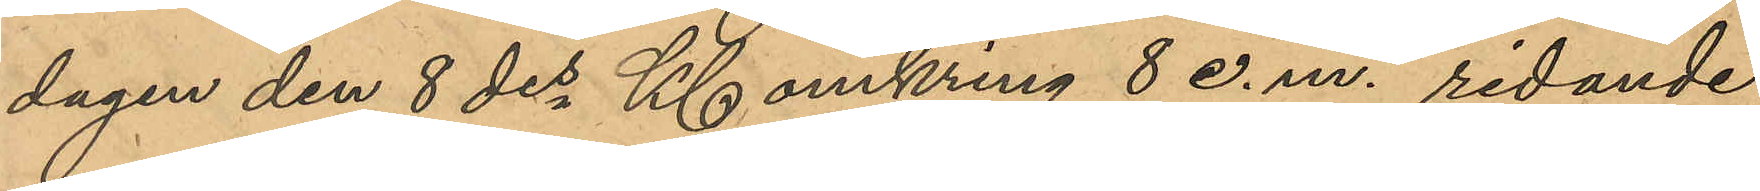dagen den 8 des Kl omkring 8 e.m. ridande
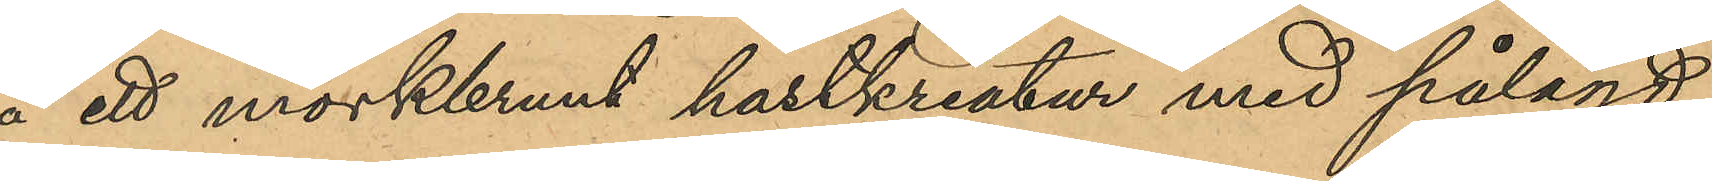å ett mörkbrunt hästkreatur med pålagd
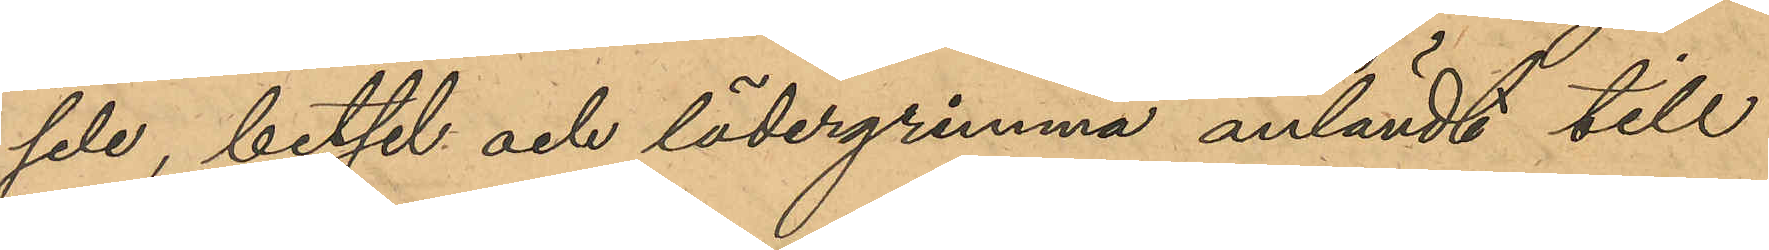sele, betsel och lädergrimma anländt till
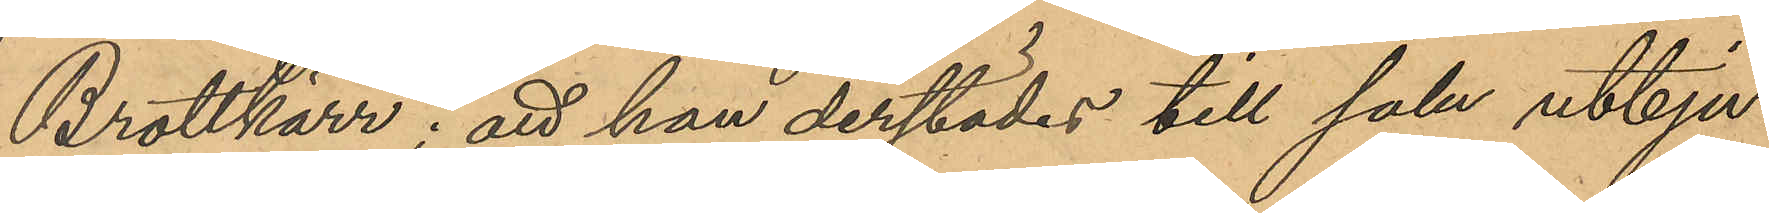Brotkärr; att han derstädes till salu utbju¬
